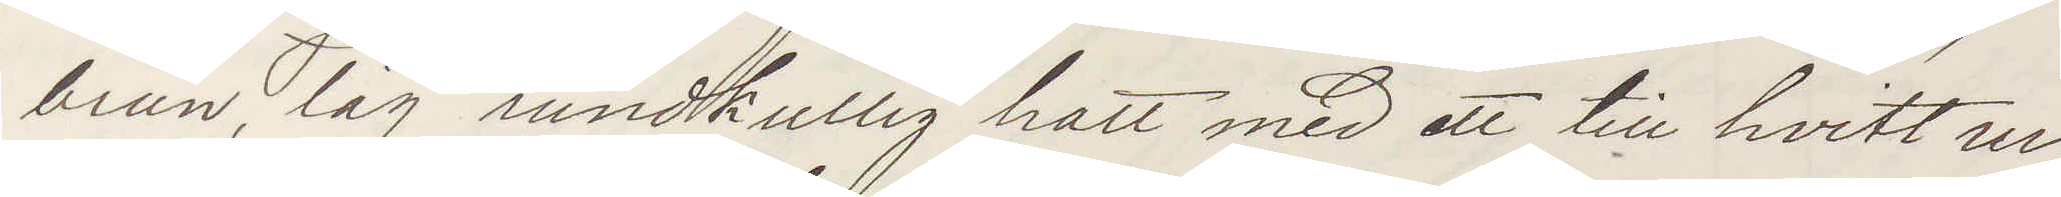brun, låg rundkullig hatt med ett till hvitt ur¬
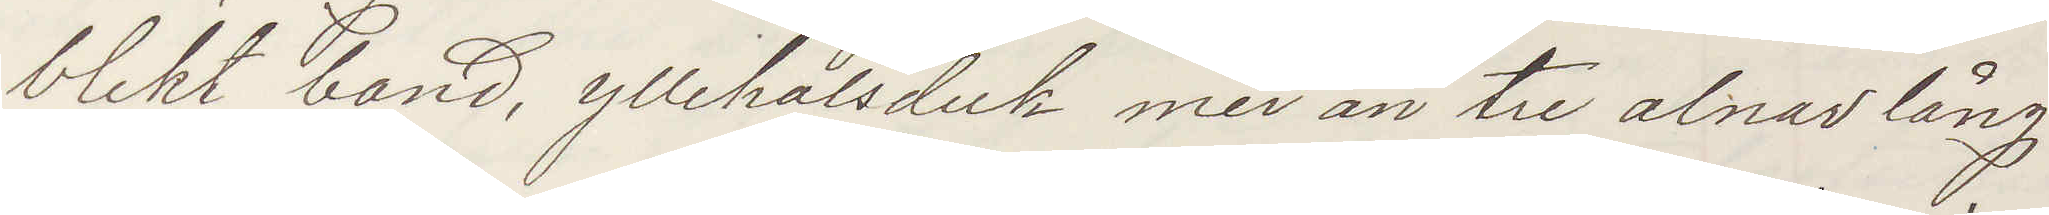blekt band, yllehalsduk mer än tre alnar lång,
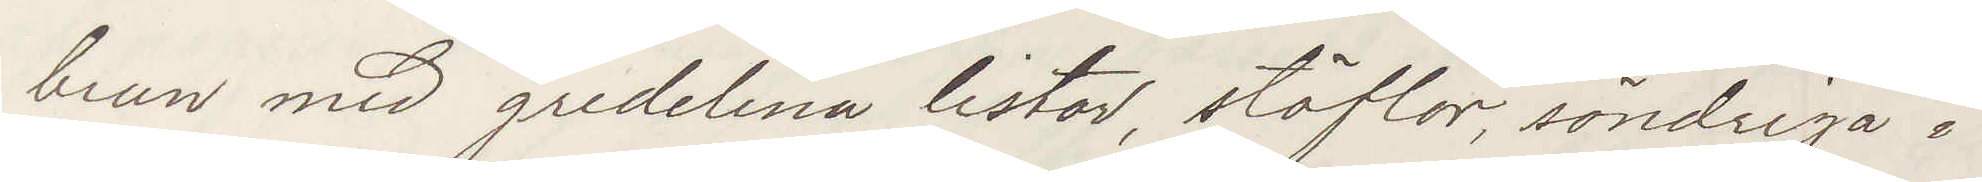brun med gredelina listor, stöflar, söndriga i
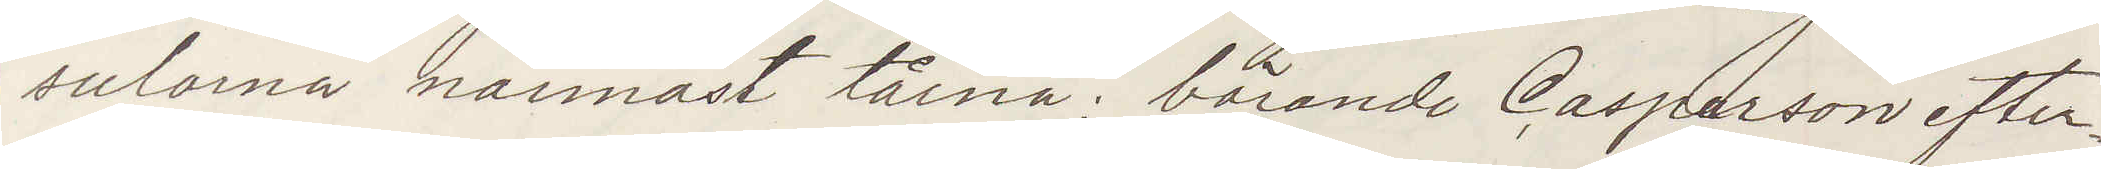sulorna närmast tårna; börande Casparson efter¬
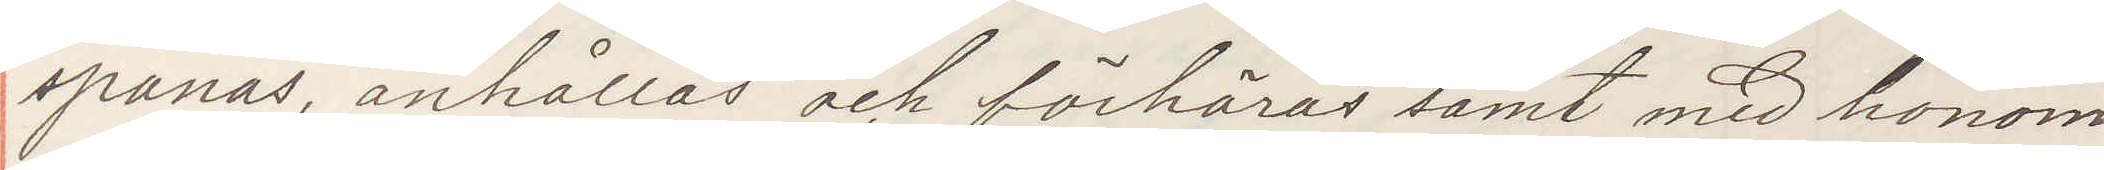spanas, anhållas och förhöras samt med honom
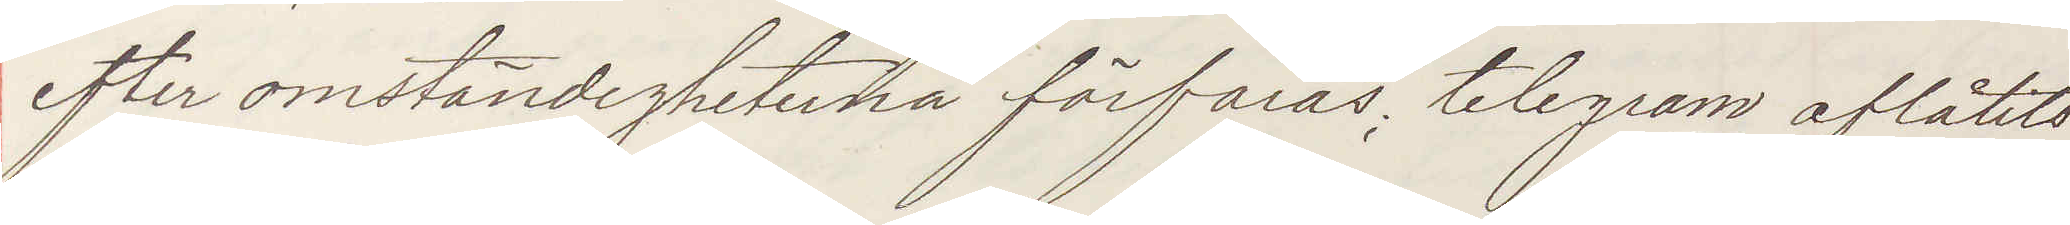efter omständigheterna förfaras; telegram aflåtits
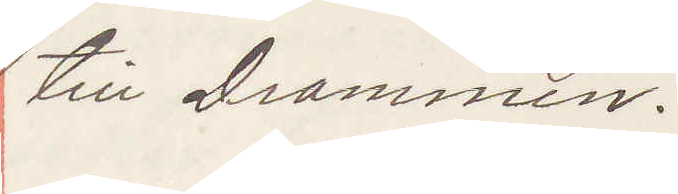till Drammen.
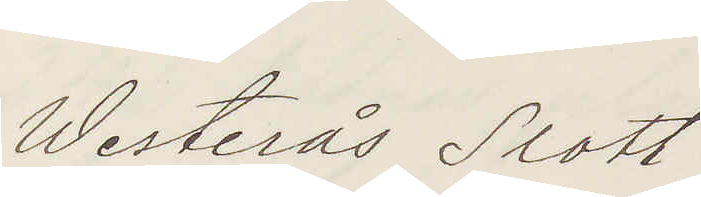Westerås Slott
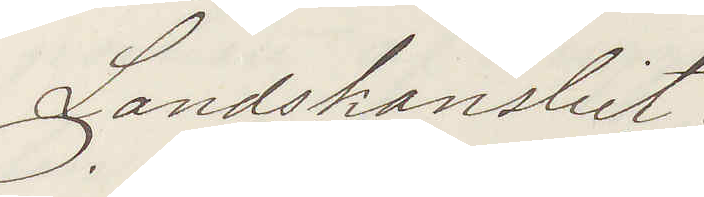Landskansliet.
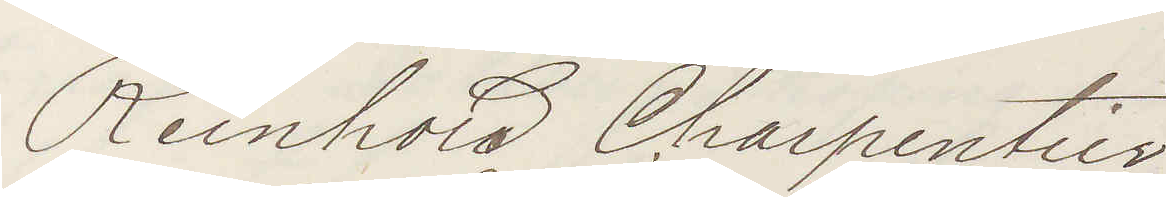Reinhold Charpentier
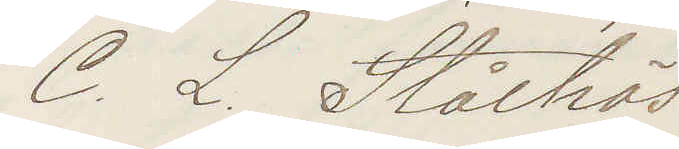C. L. Stålhös
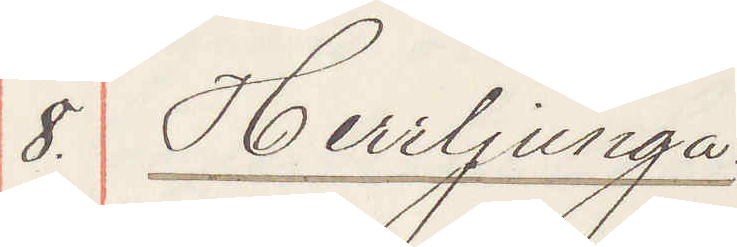8. Herrljunga
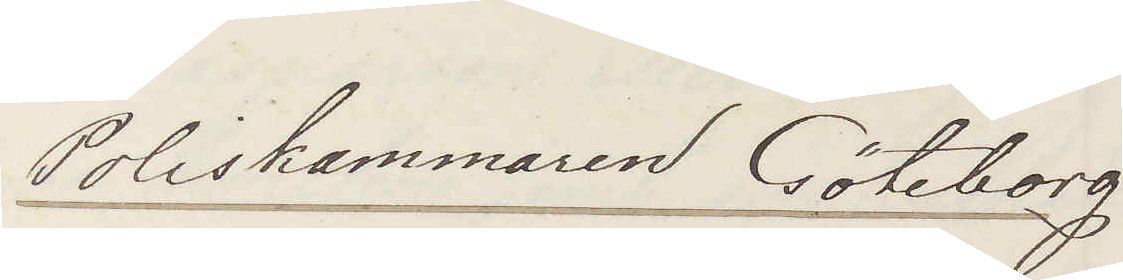Poliskammaren Göteborg
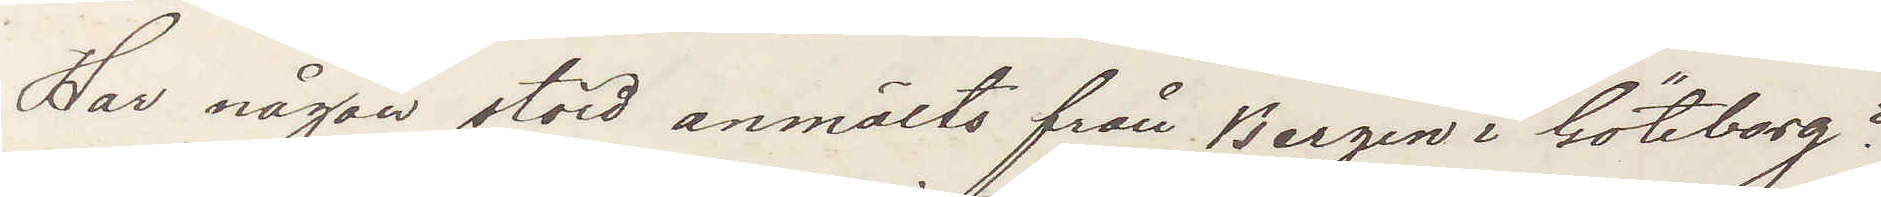Har någon stöld anmälts från Bergin i Göteborg?
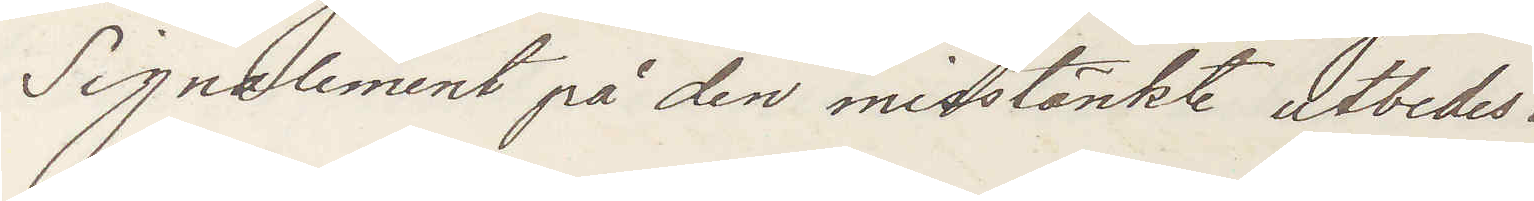Signalement på den misstänkte utbedes.
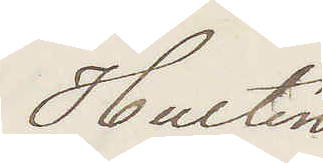Hultén
